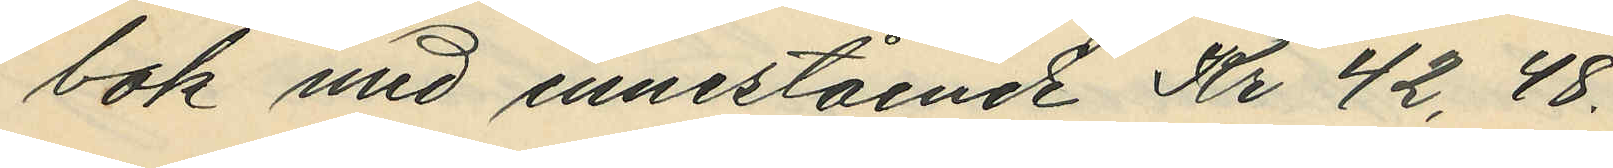bo med innestående Kr 42,48.
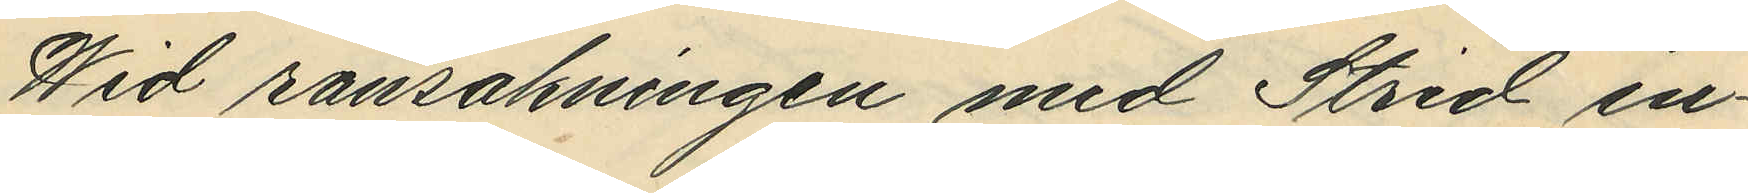Wid ransakningen med Strid in¬
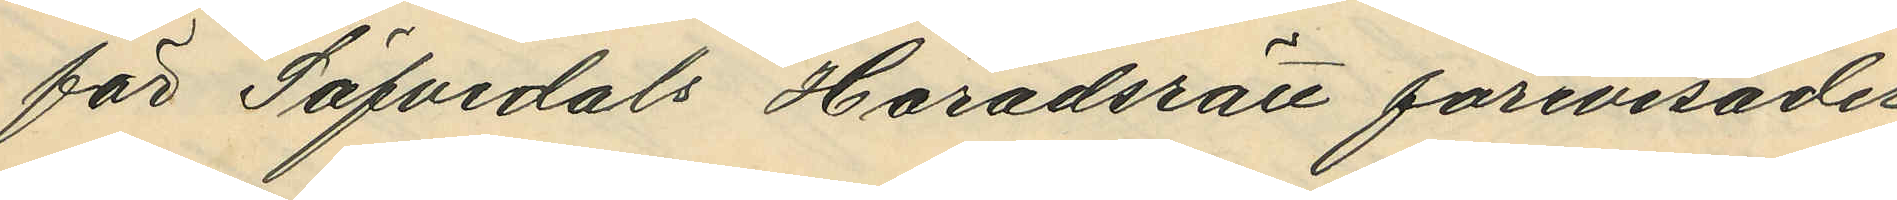för Säfvedals Häradsrätt förevisades
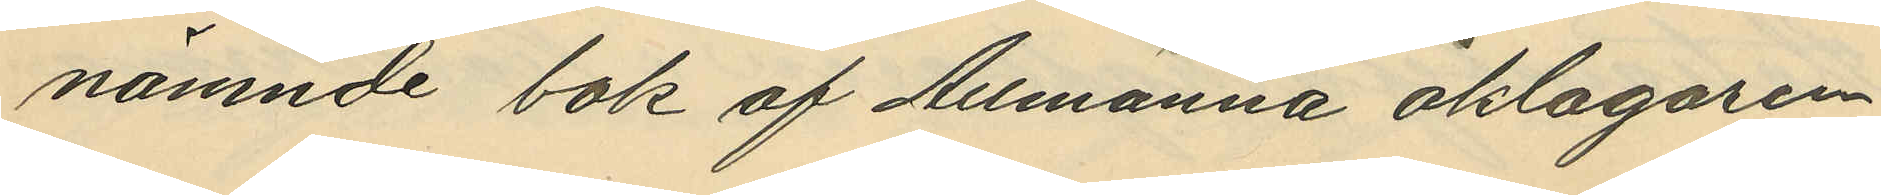nämnde bok af Allmänna åklagaren
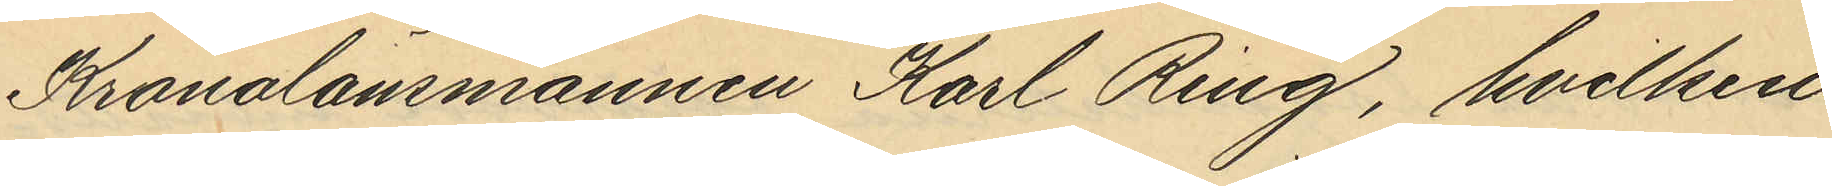Kronolänsmannen Karl Ring, hvilken
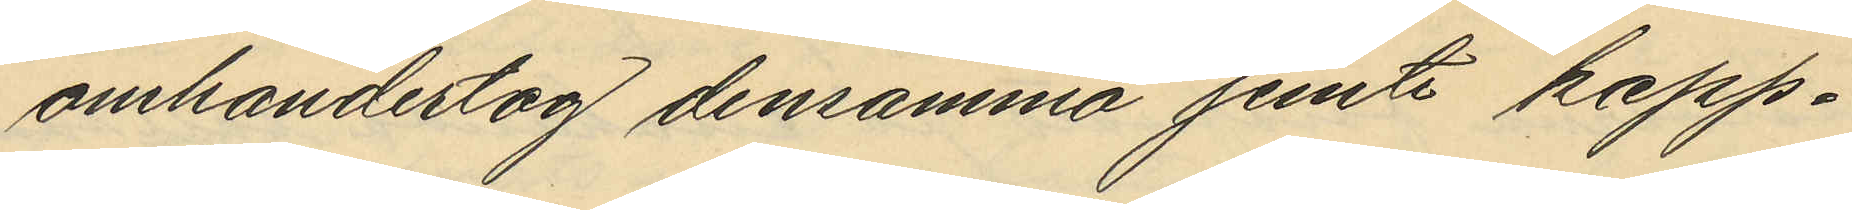omhandertog densamma jemte kapp¬
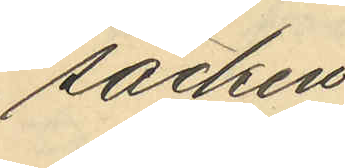säcken
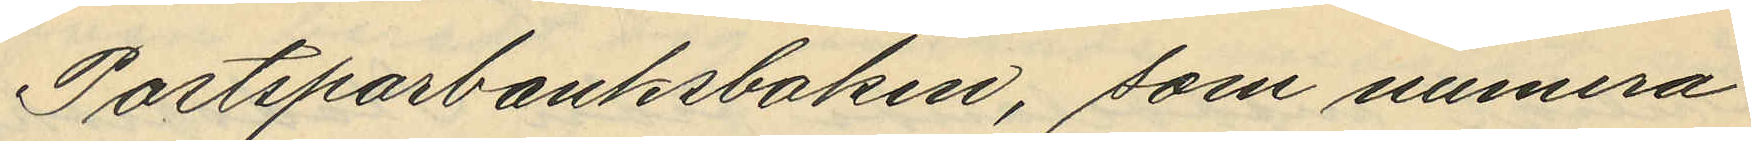Postsparbanksboken, som numera
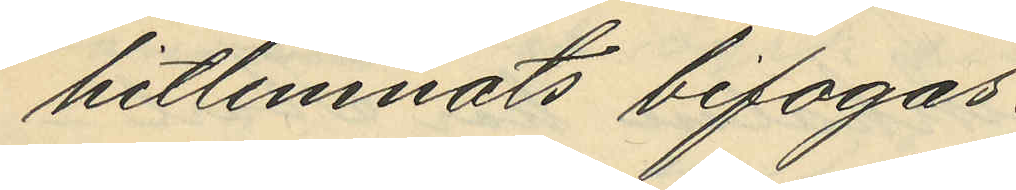hitlemnats bifogas.
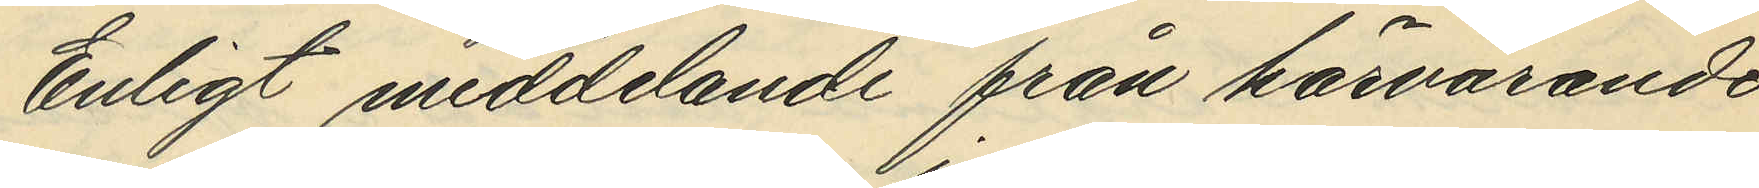Enligt meddelande från härvarande
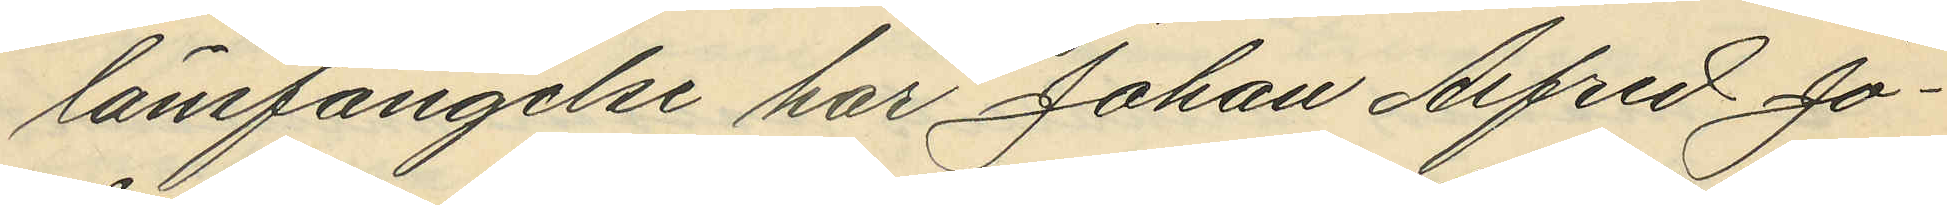länsfängelse har Johan Alfred Jo¬
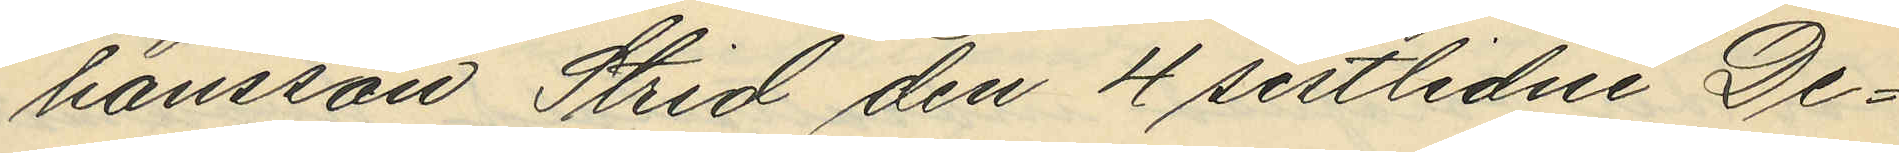hansson Strid den 4 sistlidne De¬
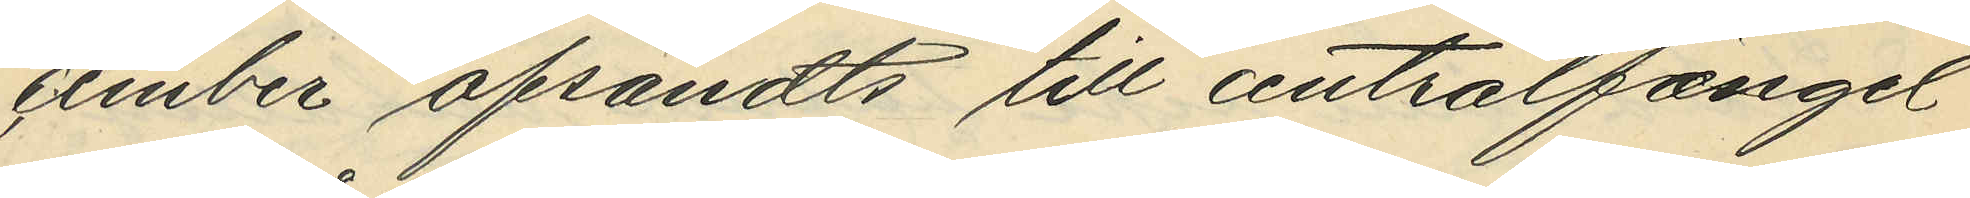cember afsändts till centralfängel¬
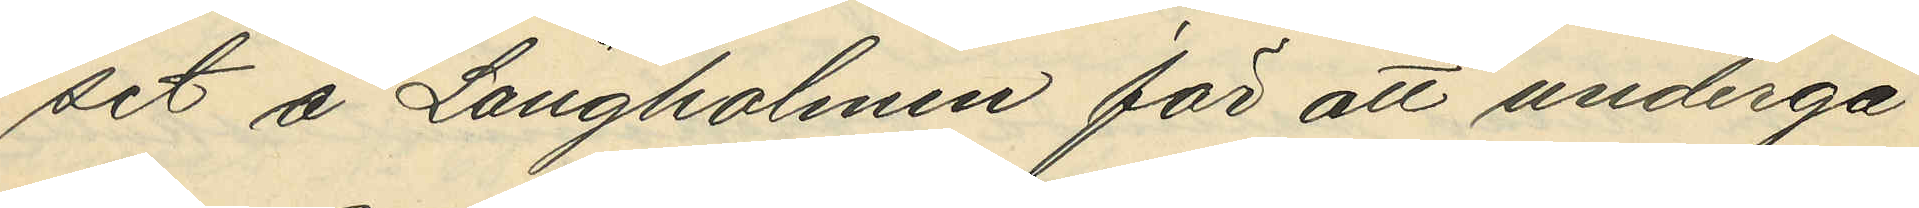set å Långholmen för att undergå
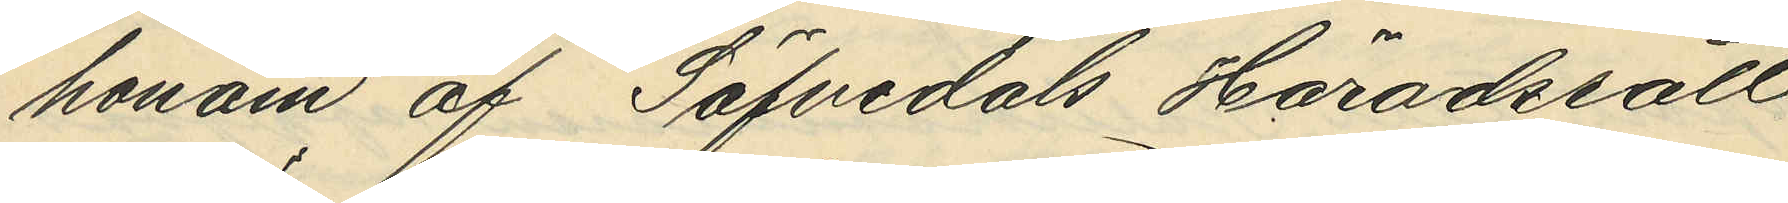honom af Säfvedals Häradsrätt
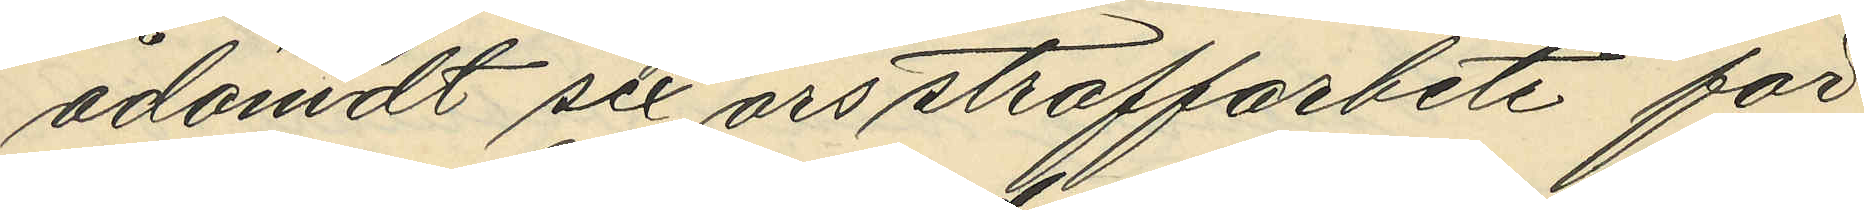ådömdt sex års straffarbete för
